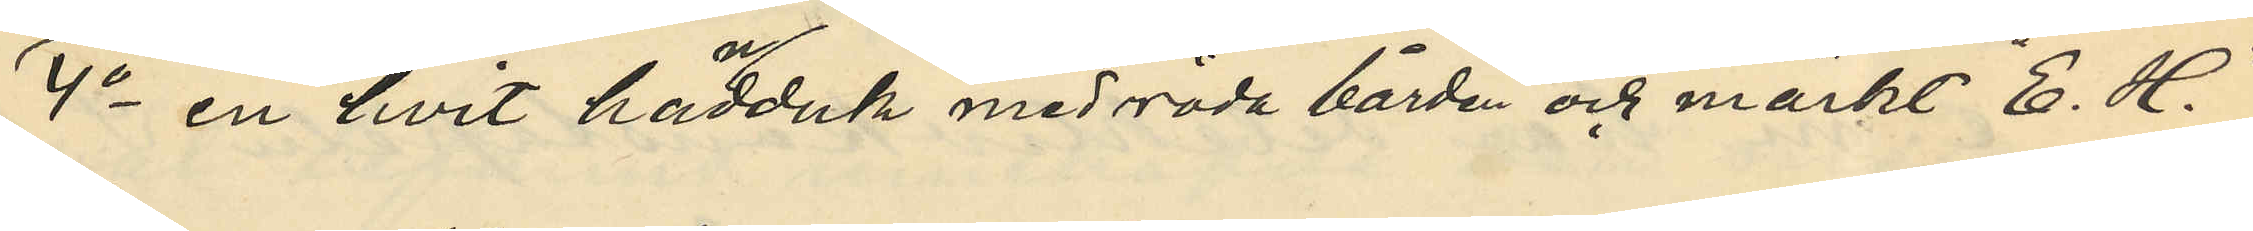4o en hvit handuk med råda bårder och märkt "E. H.",
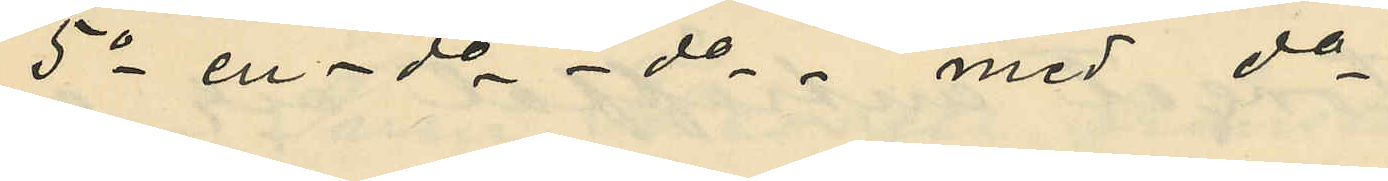5 o en  do - do - med do
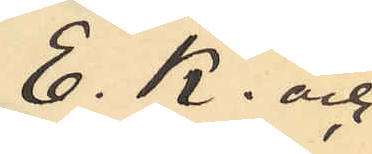E. K. och
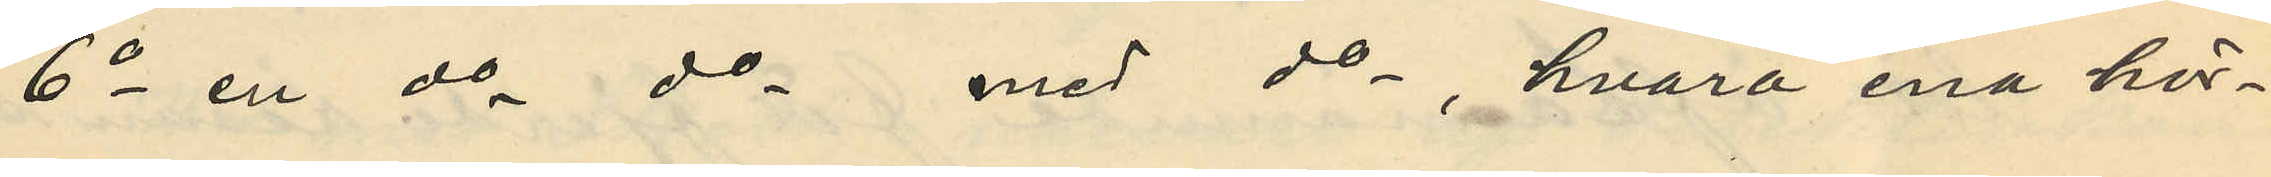6o en do do med do, hvarå ena hör¬
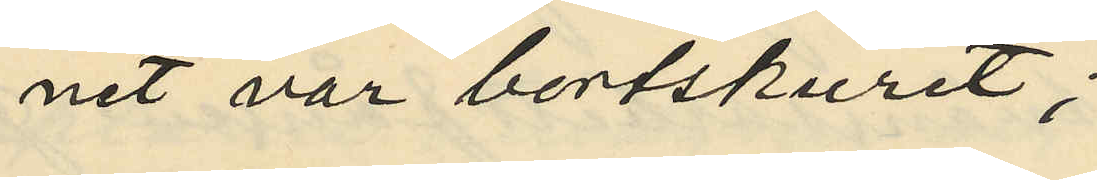net var bortskuret;
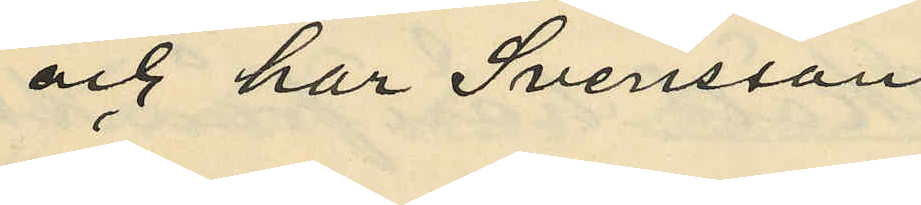och har Svensson
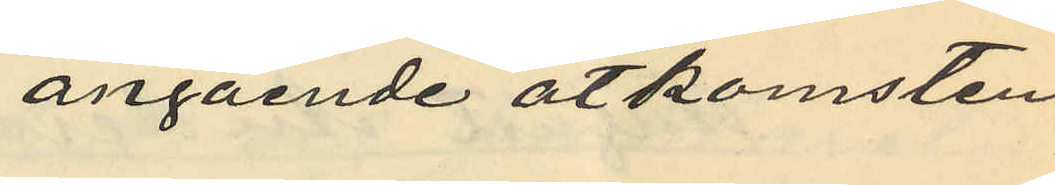angående åtkomsten.
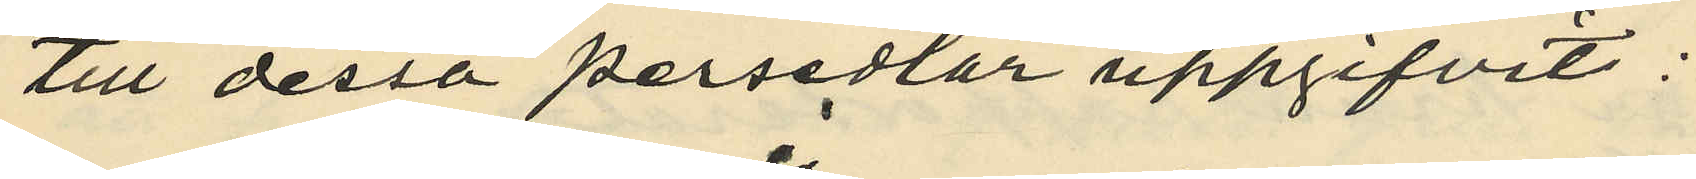till dessa persedlar uppgifvit:
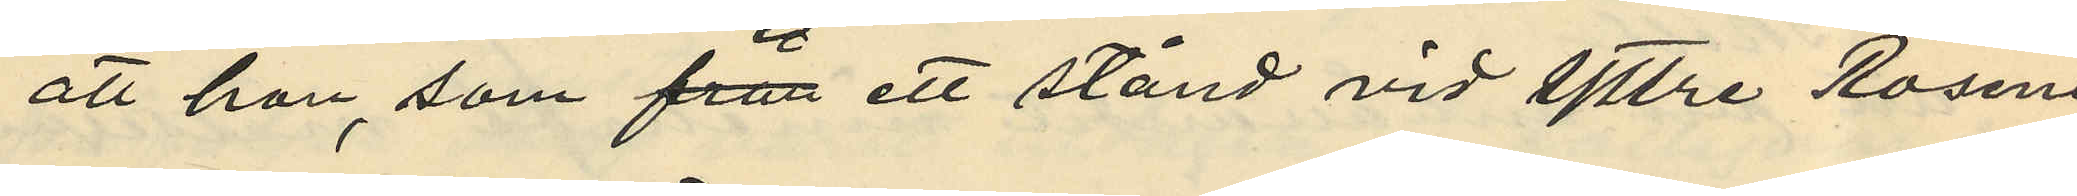att han, som från ett stånd vid yttre Rosen¬
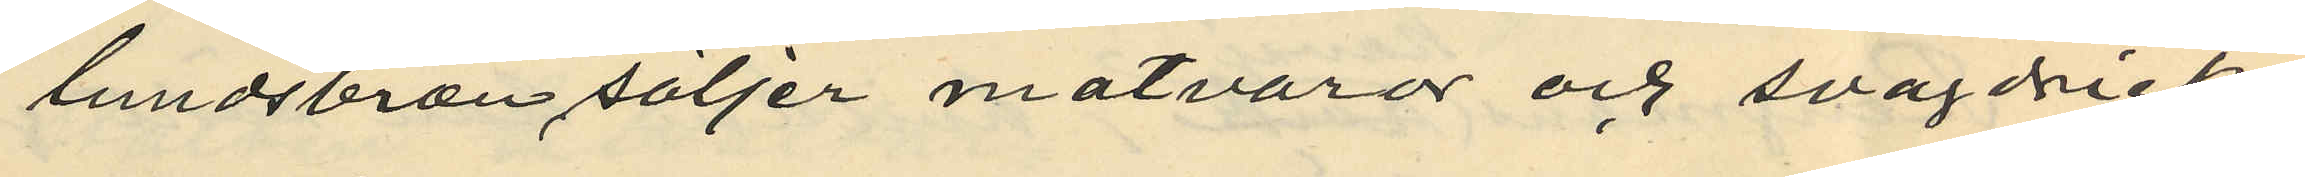lundsbron säljer matvaror och svagdricka
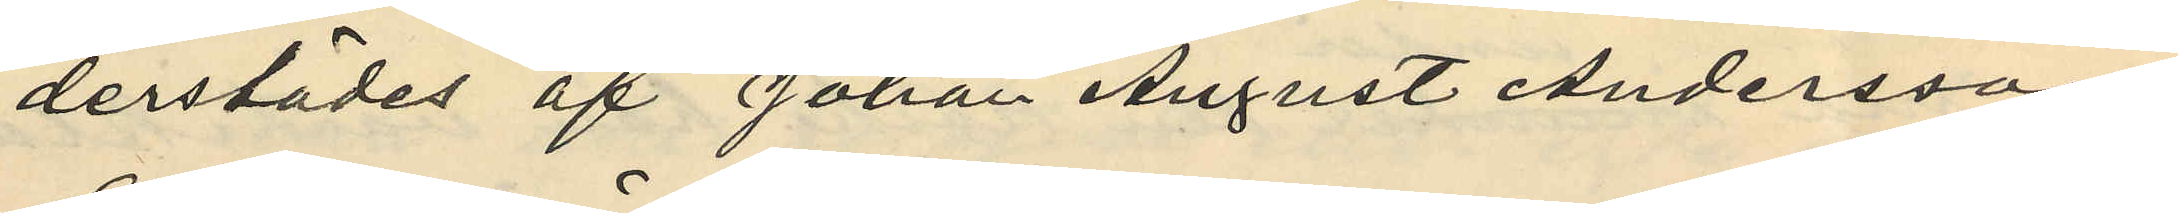derstädes af Johan August Andersson
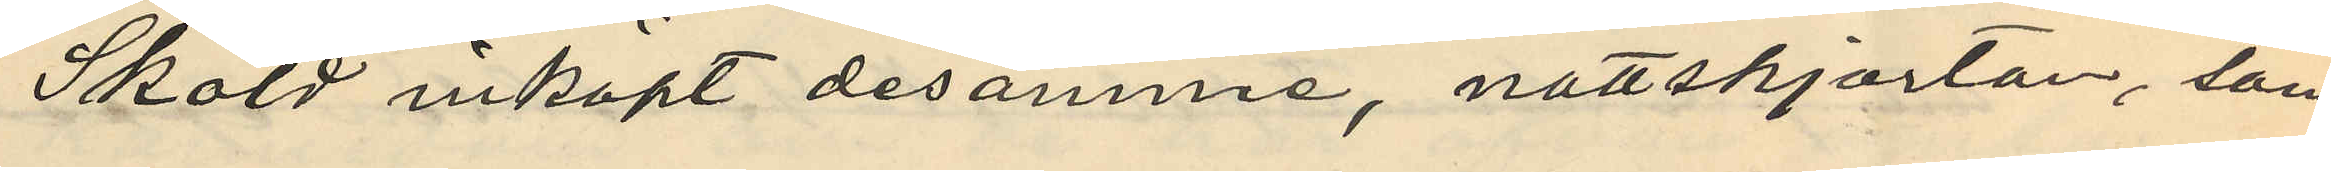Sköld inköpt desamme, nattskjortan, som
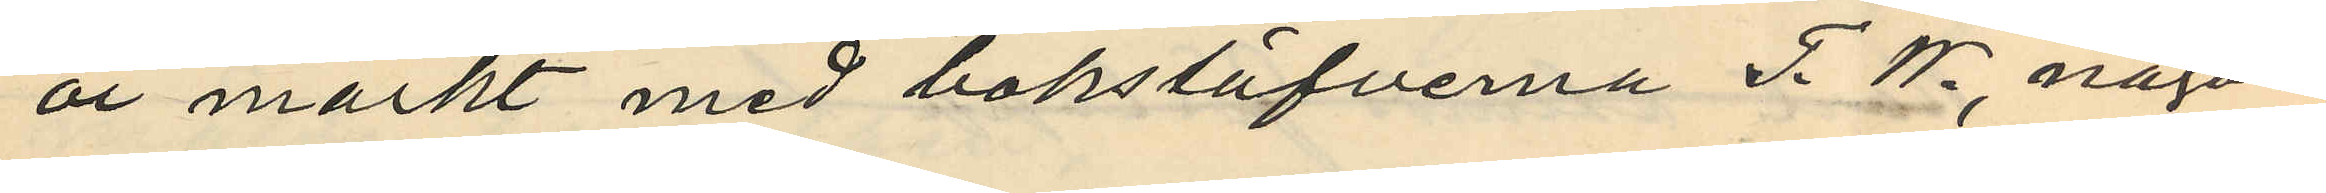oär märkt med bokstäfverna T. W., någon
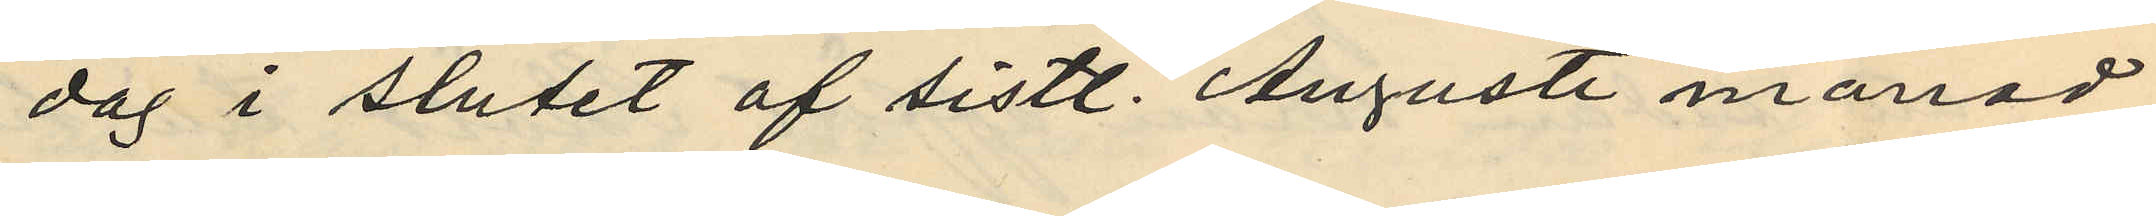dag i slutet af sistl. Augusti månad
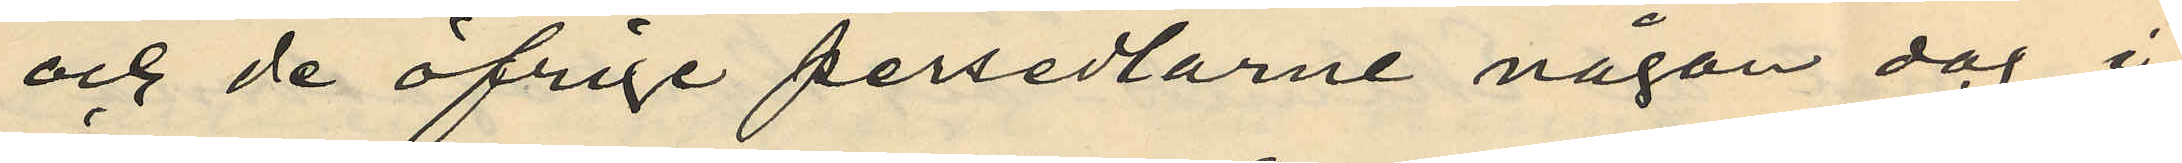och de öfrige persedlarne någon dag i
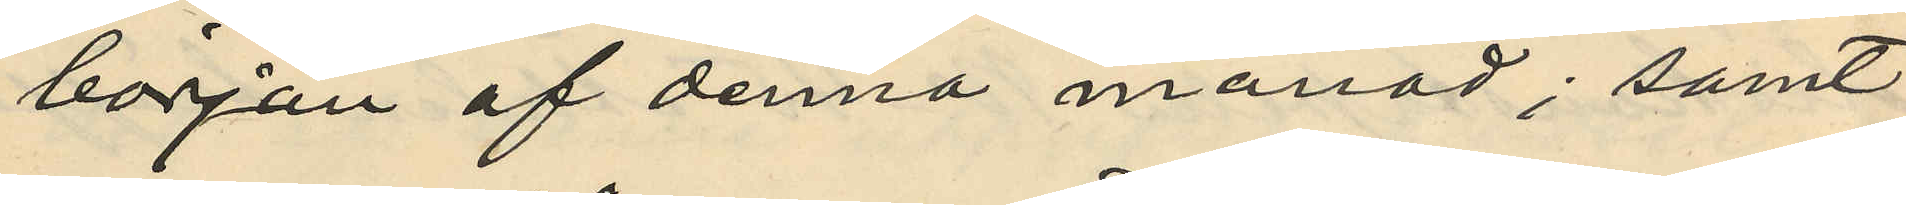början af denna månad; samt
